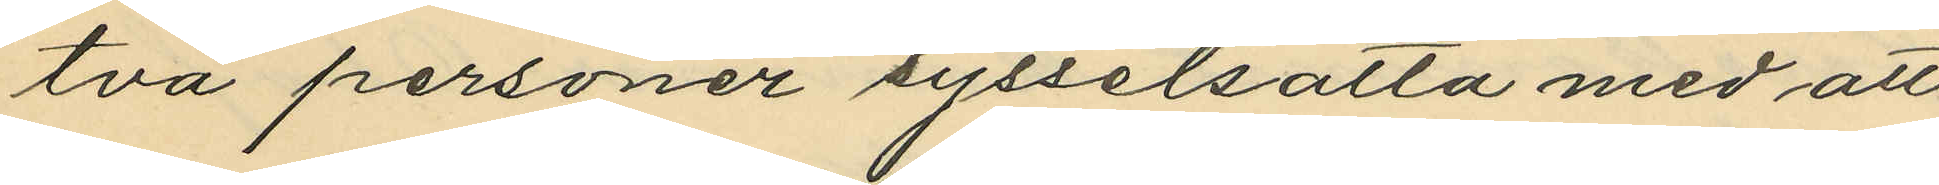två personer sysselsatta med att
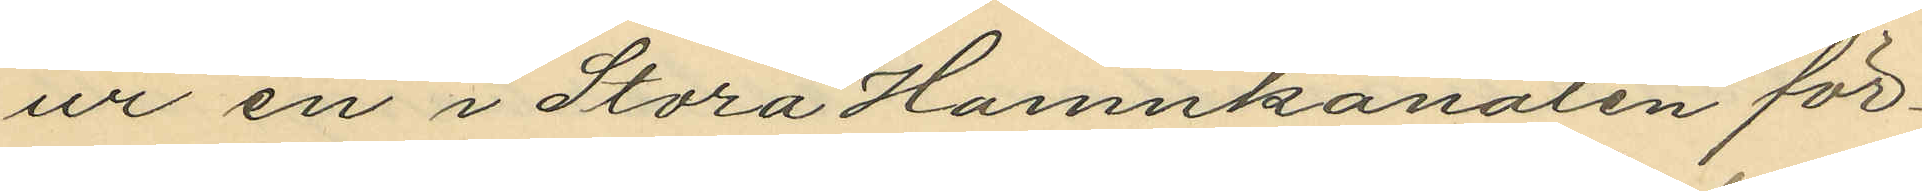ur en i Stora Hamnkanalen för¬
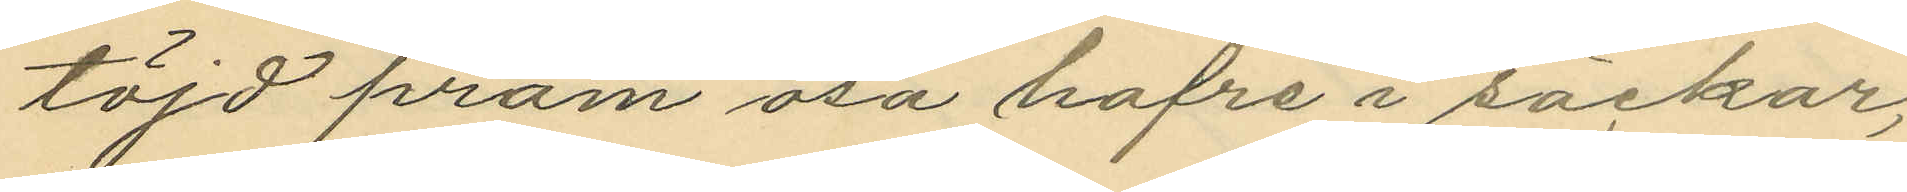töjd pråm ösa hafre i säckar,
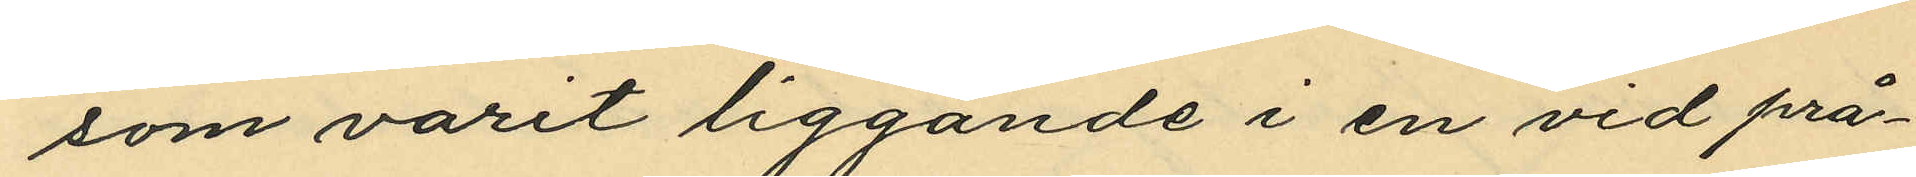som varit liggande i en vid prå¬
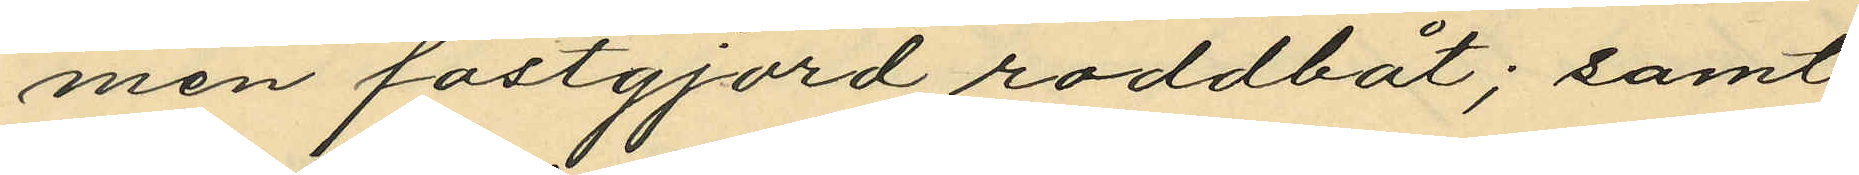men fastgjord roddbåt; samt
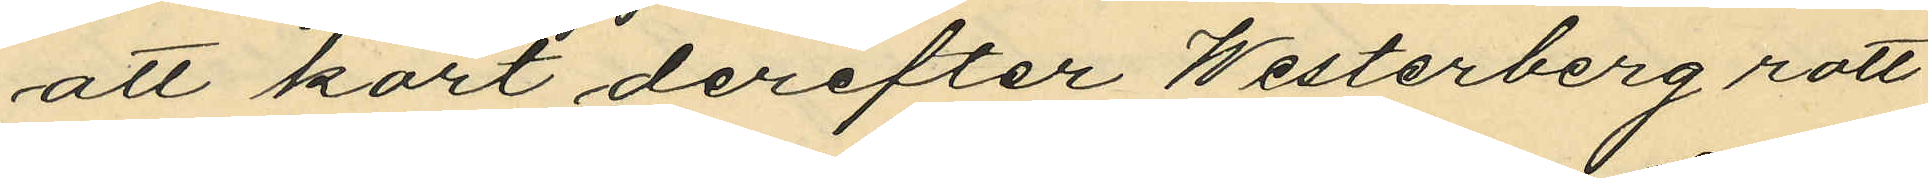att kort derefter Westerberg rott
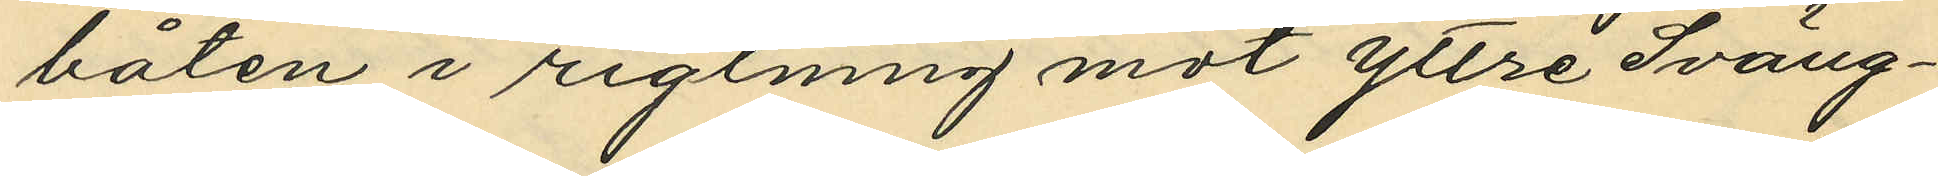båten i rigtning mot yttre Sväng¬
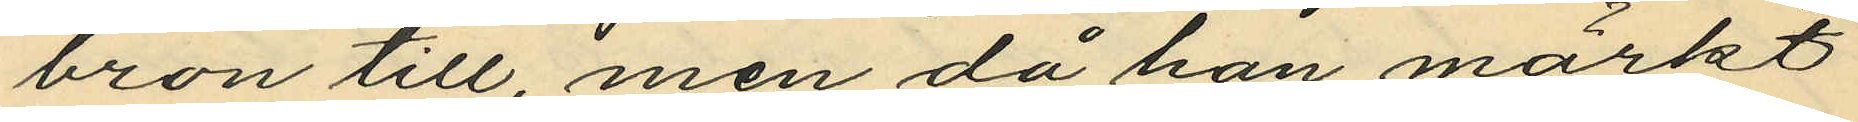bron till, men då han märkt
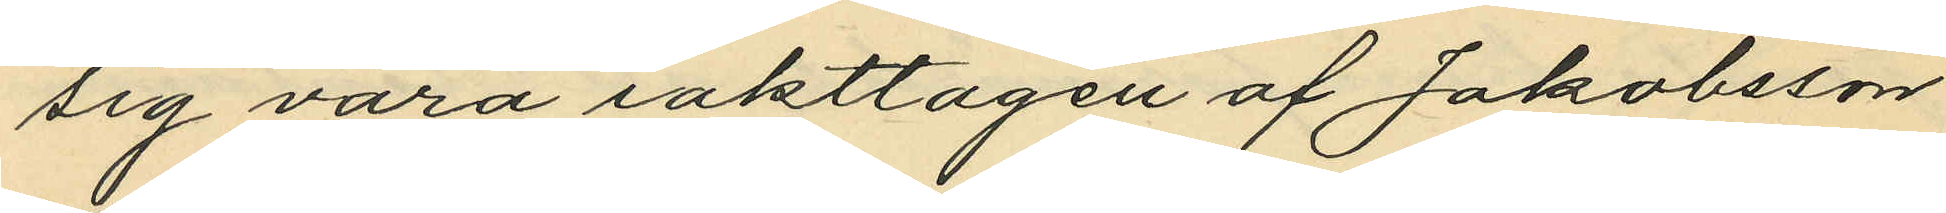sig vara iakttagen af Jakobsson
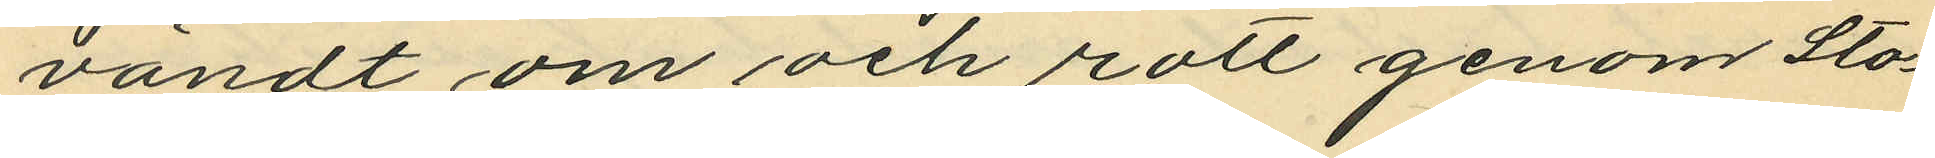vändt om och rott genom Sto¬
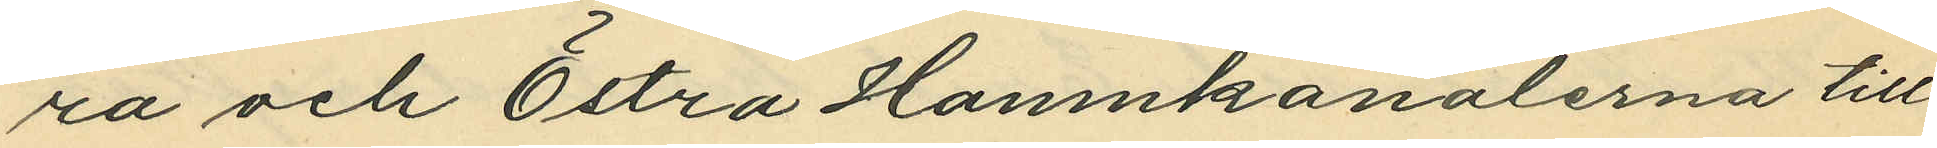ra och Östra Hamnkanalerna till
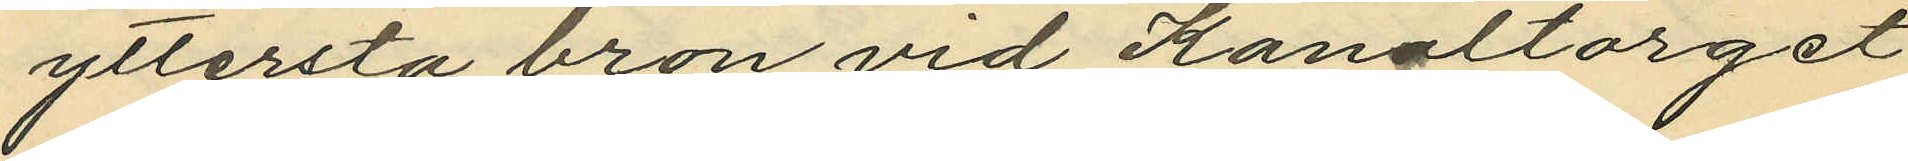yttersta bron vid Kanaltorget
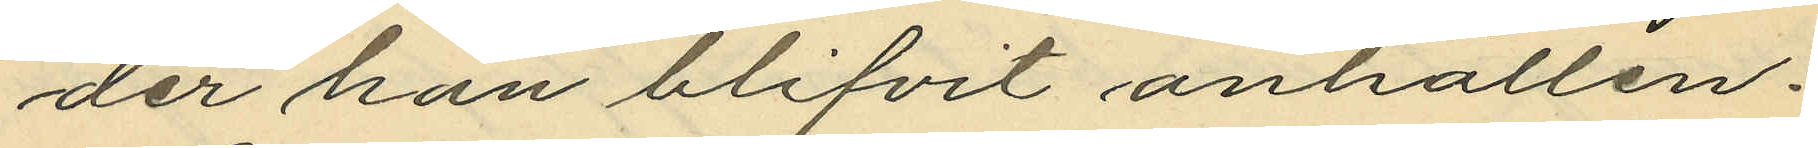der han blifvit anhållen.
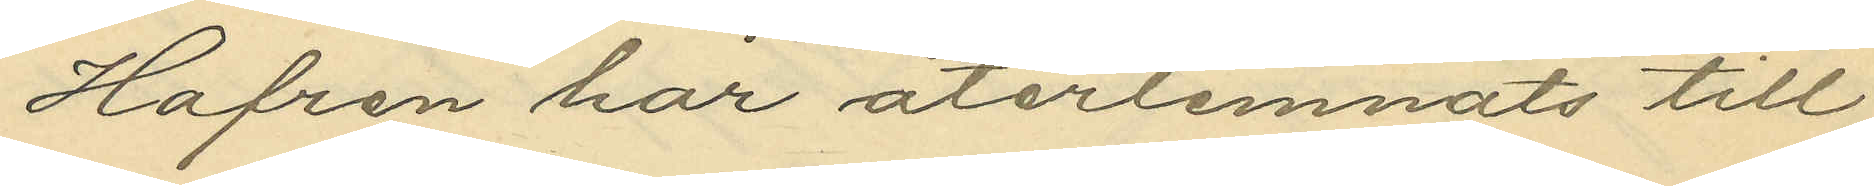Hafren har återlemnats till
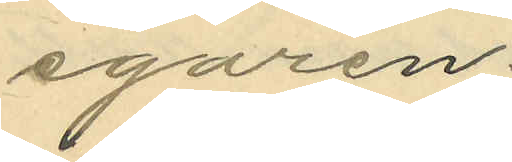egaren.
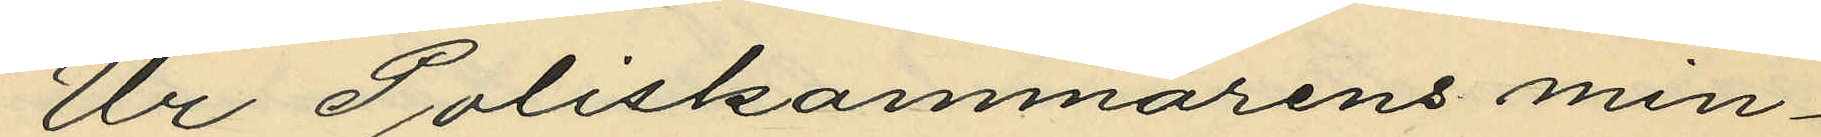Ur Poliskammarens min¬
